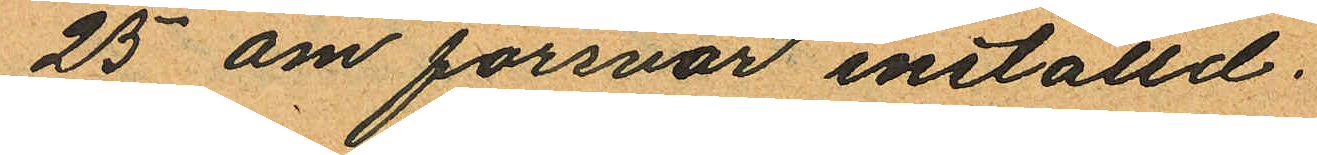25 om försvar inställd.
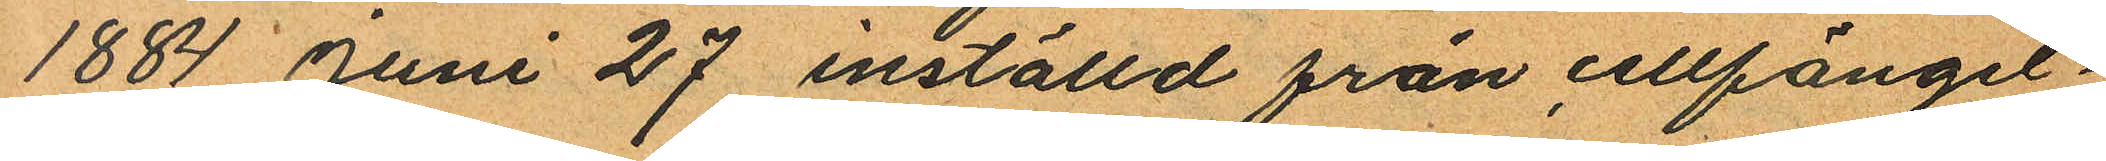1884 Juni 27 inställd från cellfängel¬
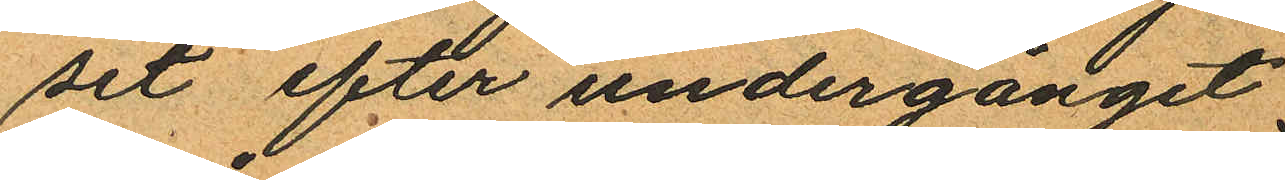set efter undergånget
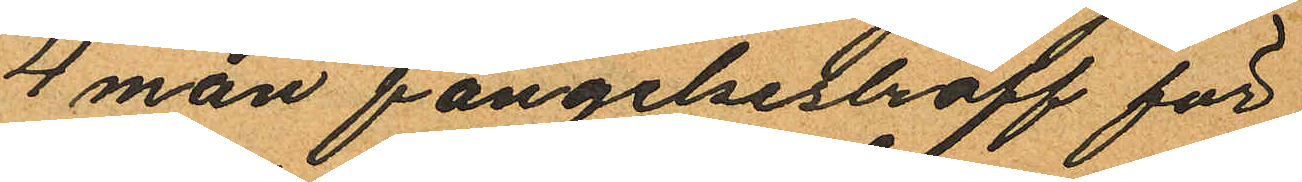4 mån fängelsestraff för
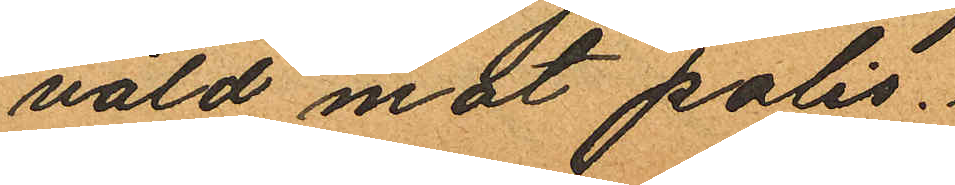våld mot polis.
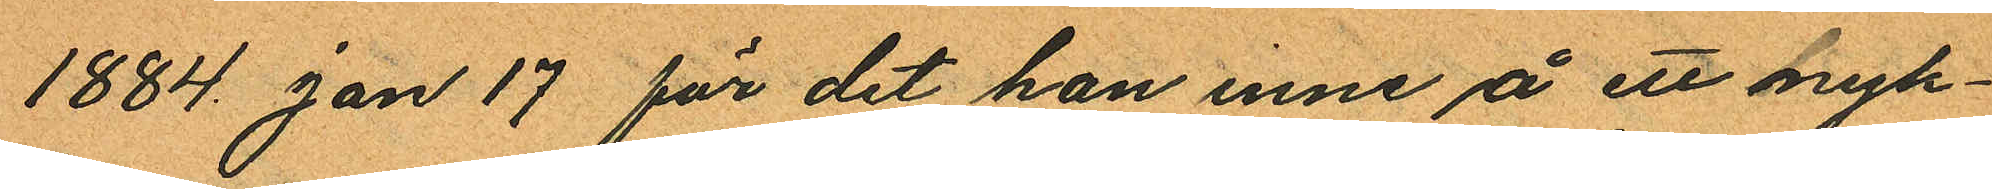1884 Jan 17 för det han inne å ett nyk¬
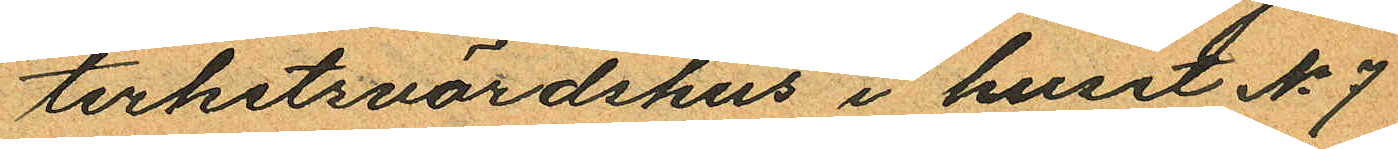terhetsvärdshus i huset No 7
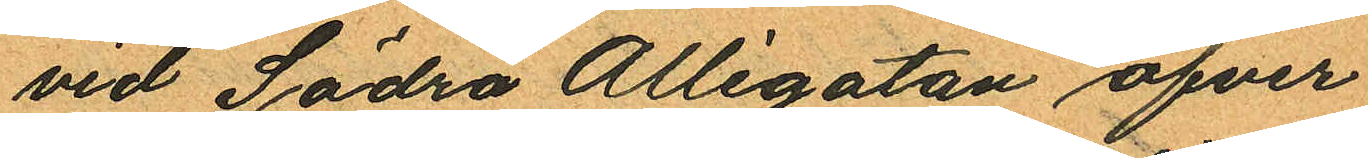vid Södra Allégatan öfver¬
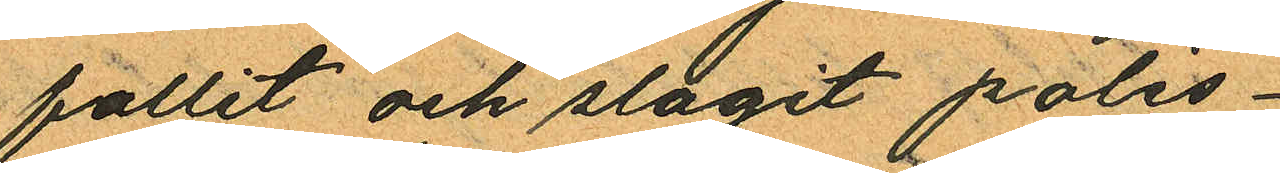fallit och slagit polis¬
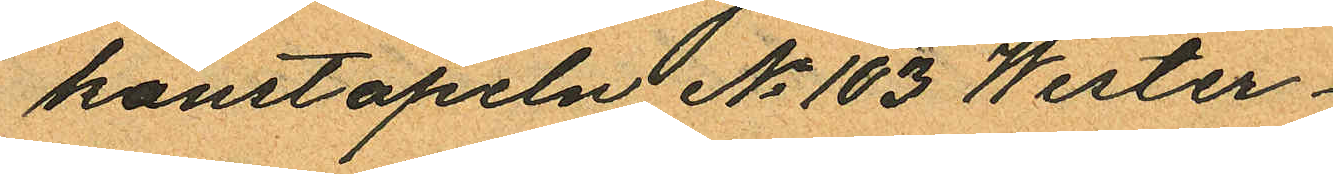konstapeln No 103 Wester¬
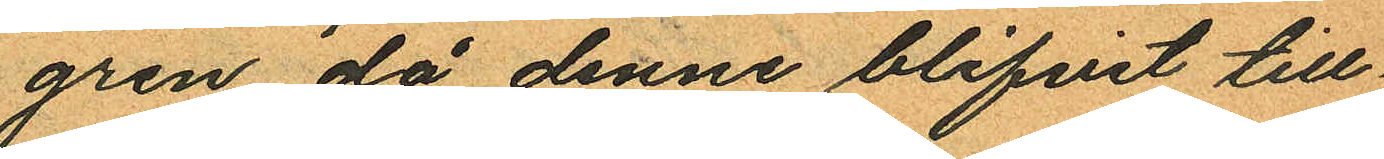gren då denne blifvit till
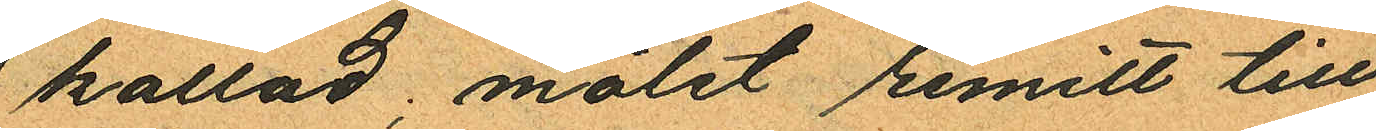kallad, målet remitt till
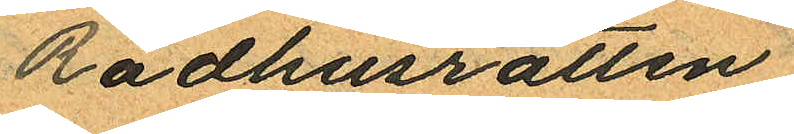Rådhusrätten.
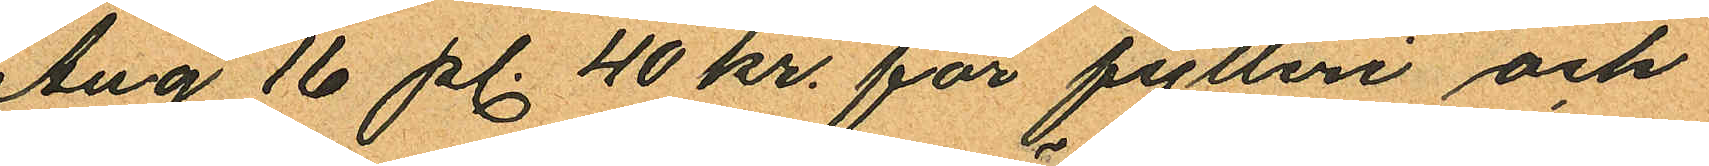Aug 16 pl. 40 kr. för fylleri och
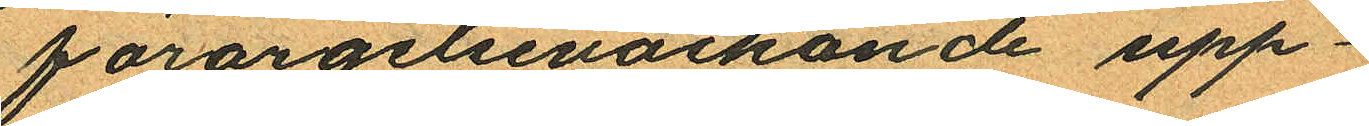förargelseväckande upp¬
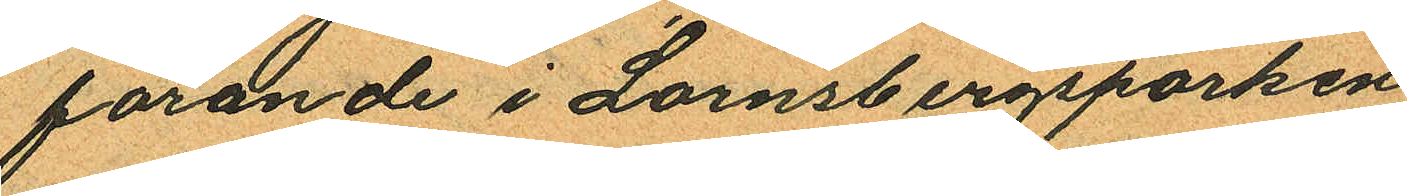förande i Lornsbergsparken
